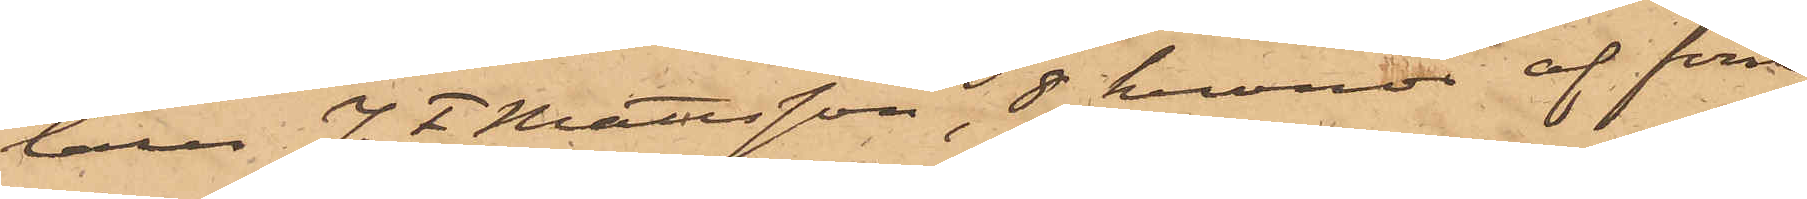laren J. F. Mattsson, 8 kronor af förre
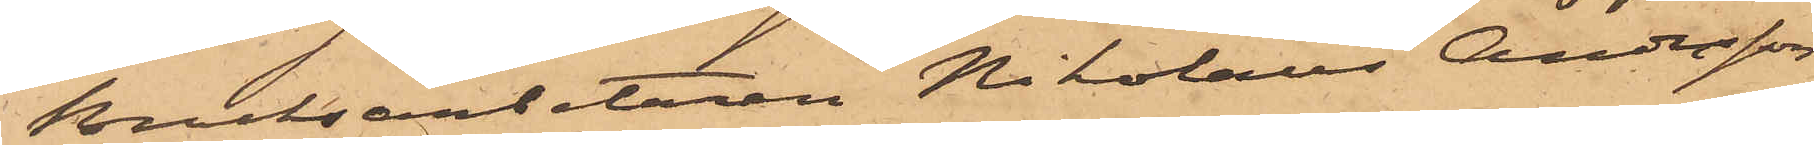Bruksarbetaren Nikolaus Andersson
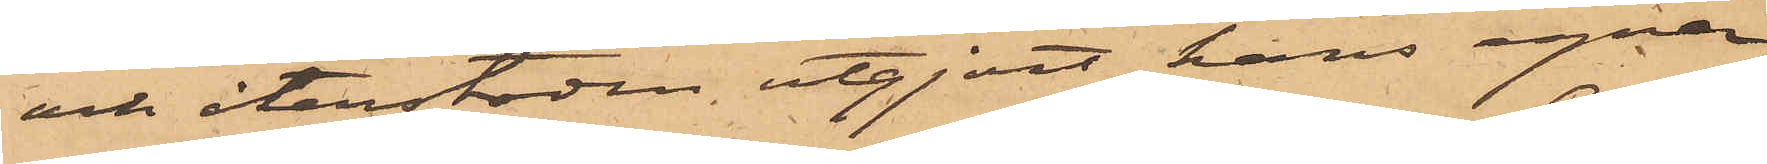och återstoden utgjort hans egna
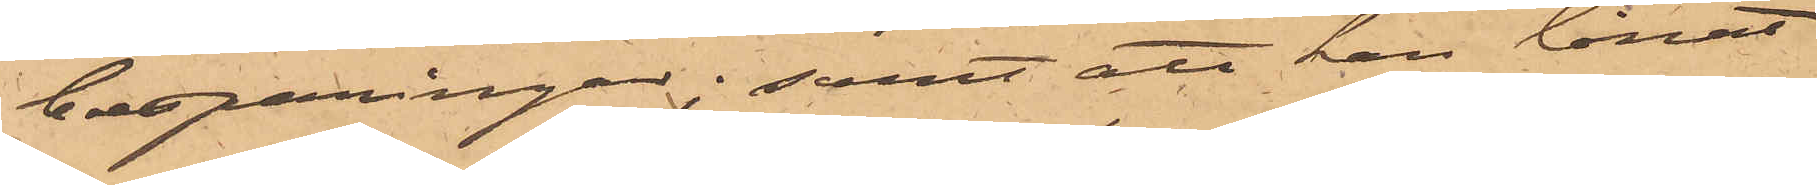besparingar; samt att han lånat
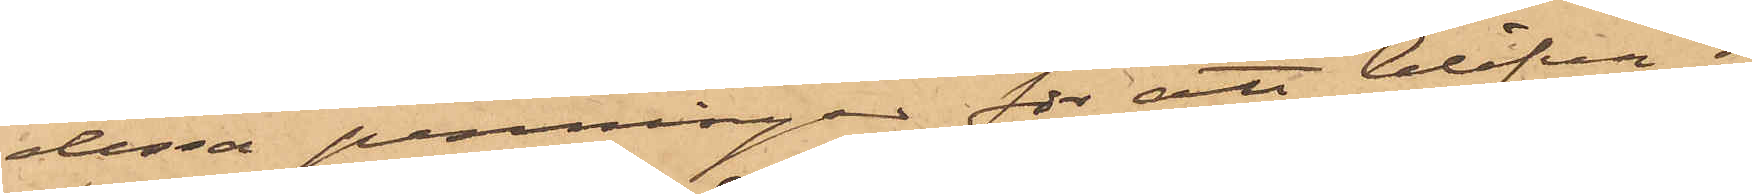dessa penningar för att blifva i
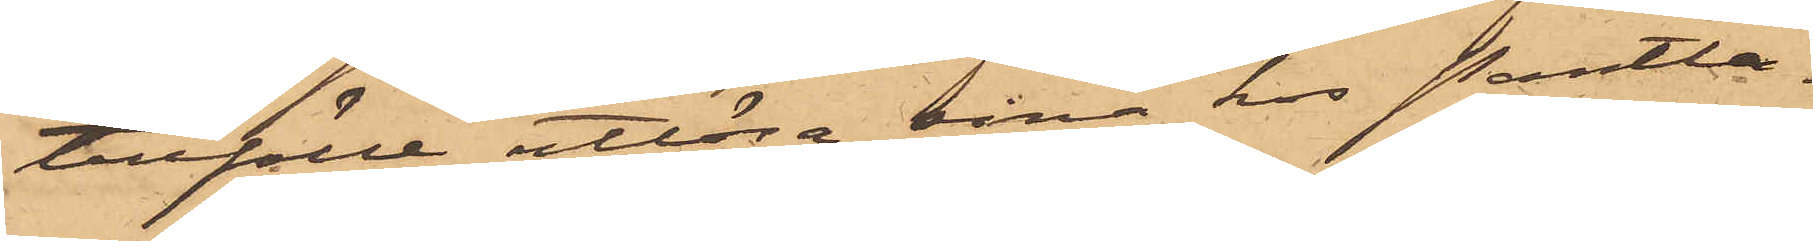tillfälle utlösa sina hos Pantlå¬
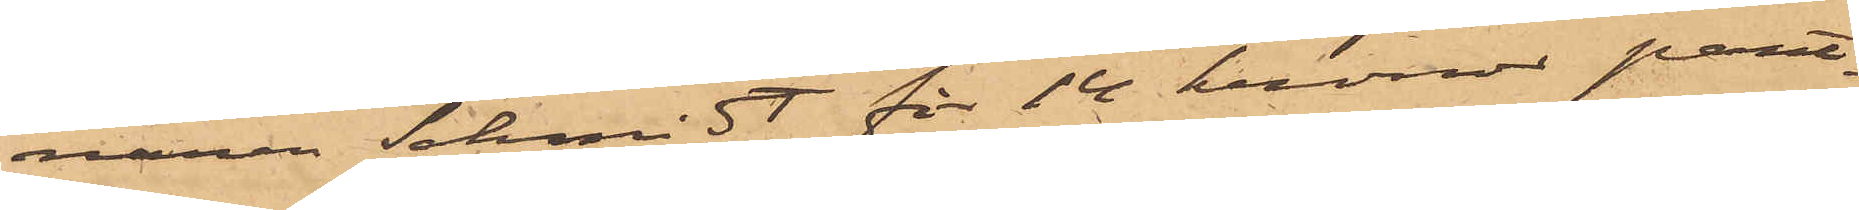naren Schmidt för 14 kronor pant¬
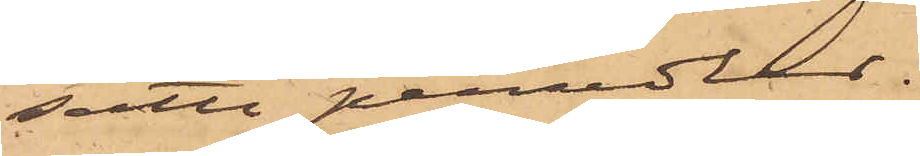satte persedlar.
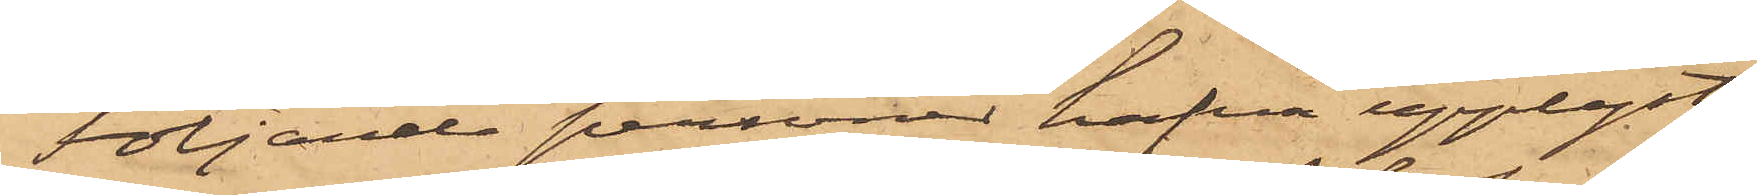Följande personer hafva upplyst.
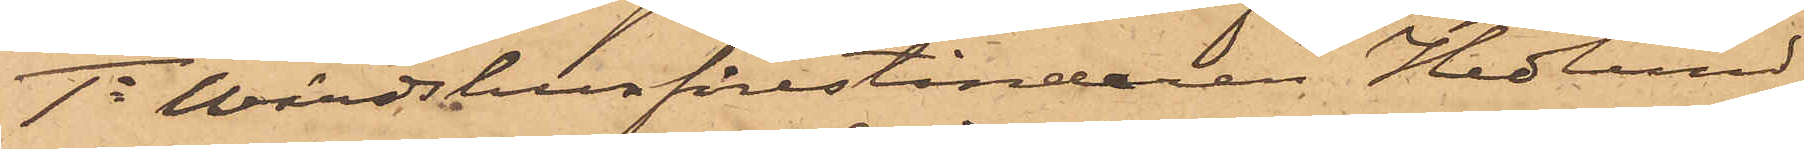1o Wärdshusföreståndaren Hedlund,
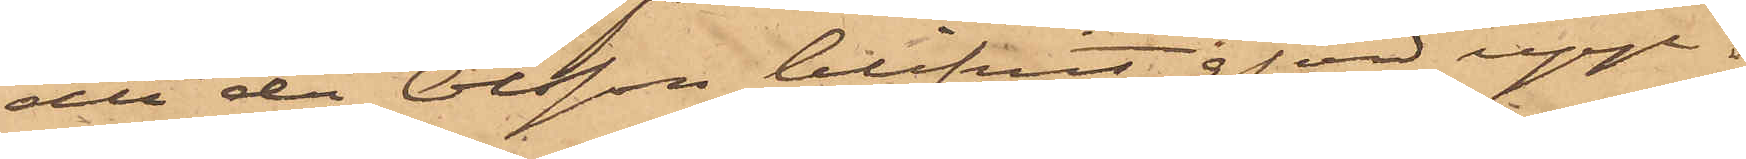att då Olsson blifvit gjord upp¬
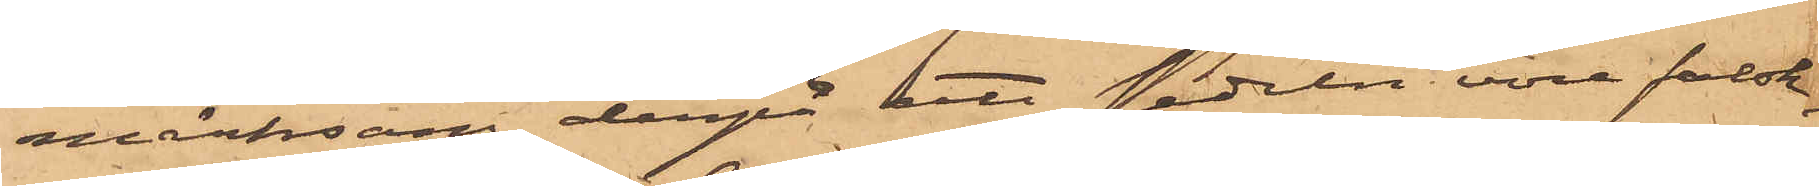märksam derpå att sedeln vore falsk,
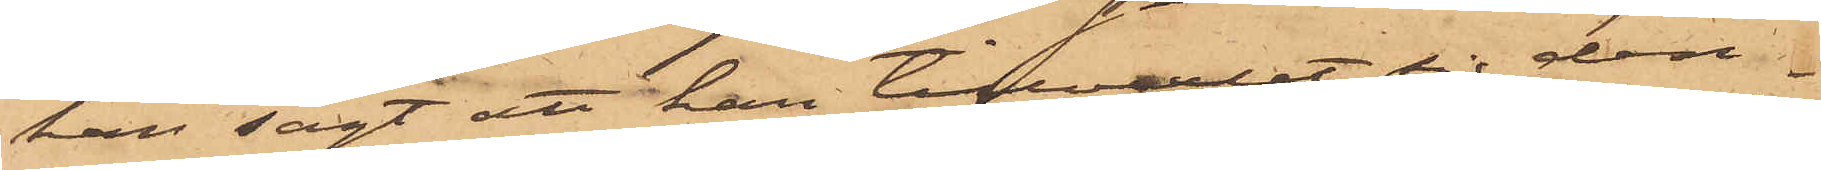han sagt att han tillvexlat sig den¬
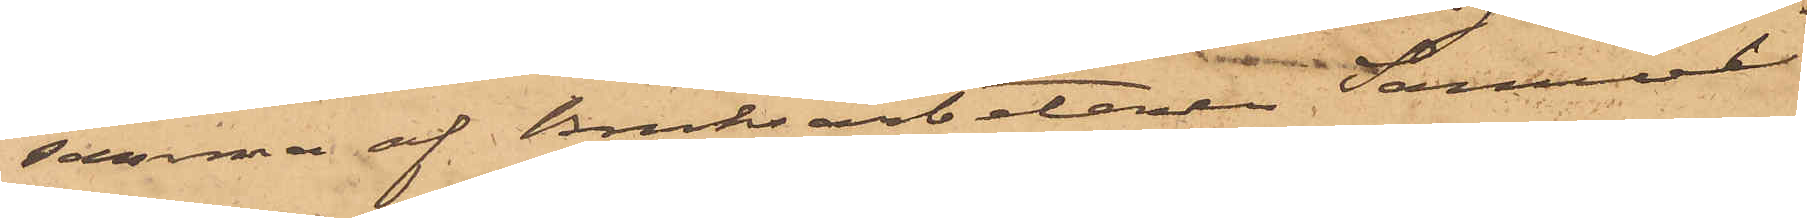samma af Bruksarbetaren Samuel
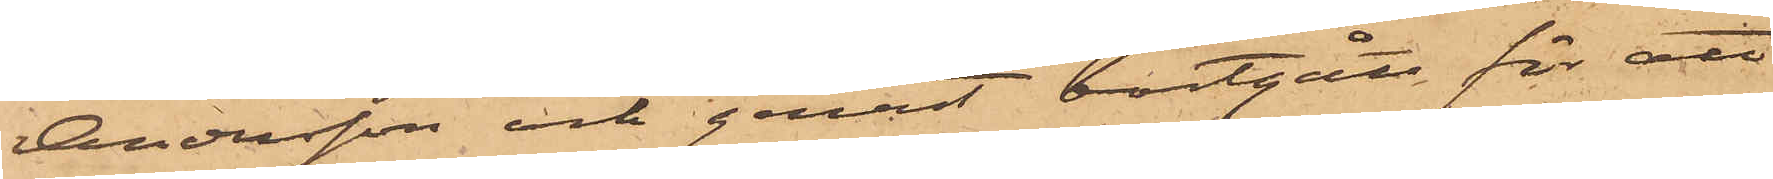Andersson och genast bortgått för att
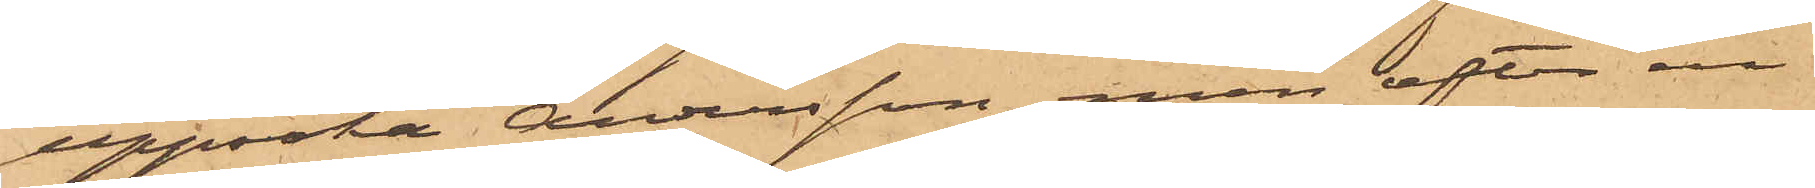uppsöka Andersson, men efter en
